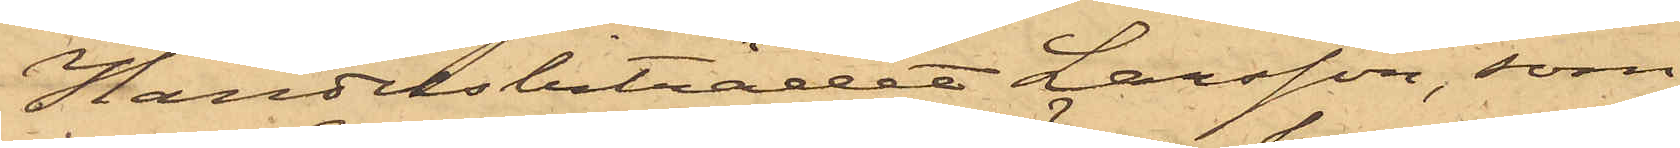Handelsbiträdet Larsson, som
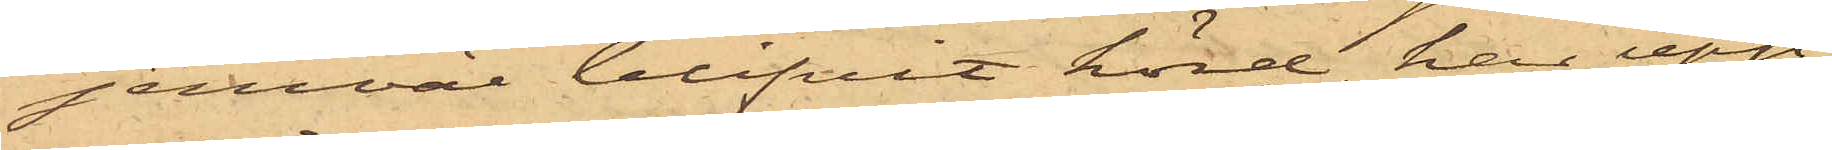jemväl blifvit hörd, har upp¬
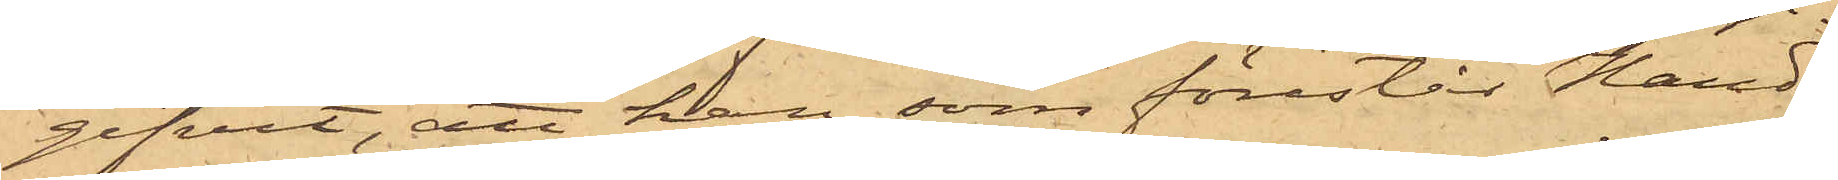gifvit, att han, som förestår Hand¬
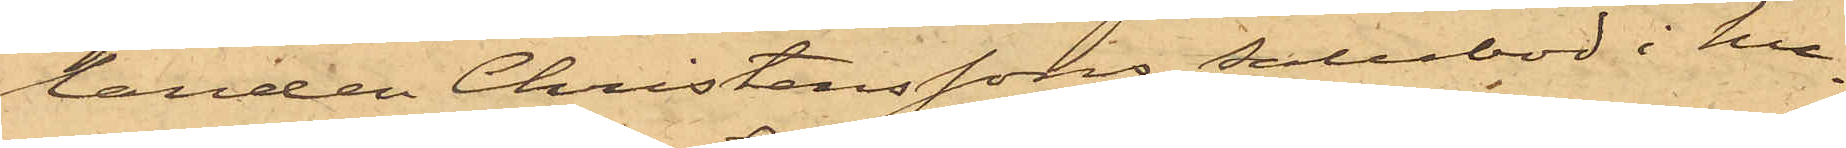landen Christenssons Salubod i hu¬
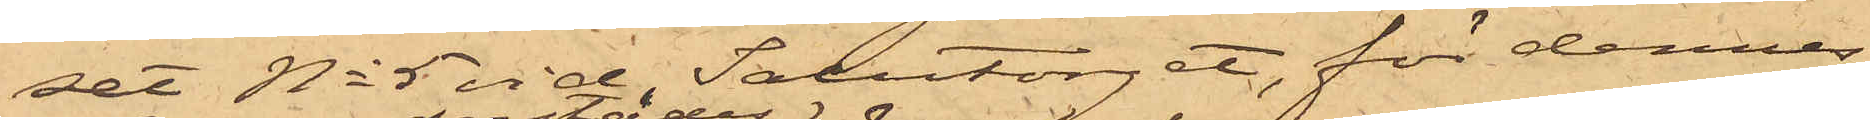set No 5 vid Salutorget, för dennes
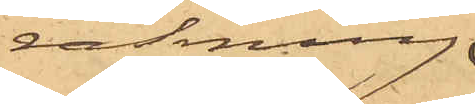räkning
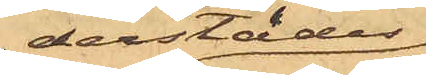derstädes
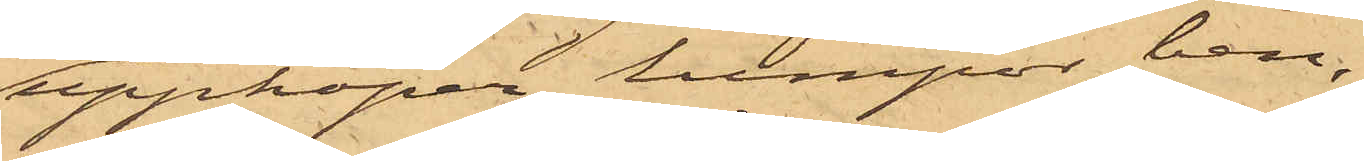uppköper lumpor, ben,
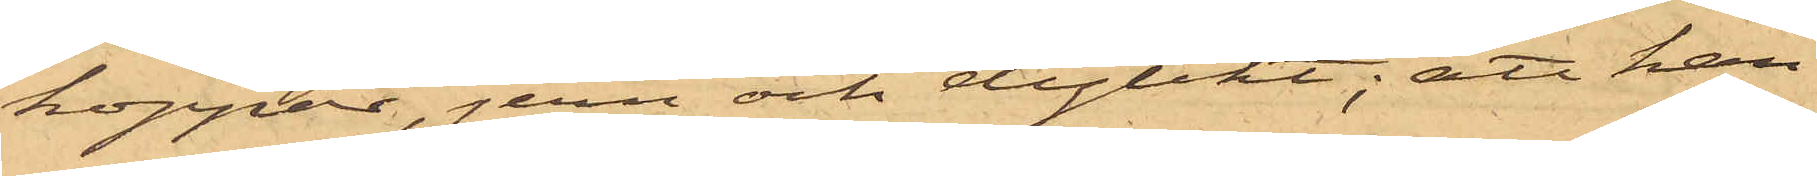koppar, jern och dylikt; att han
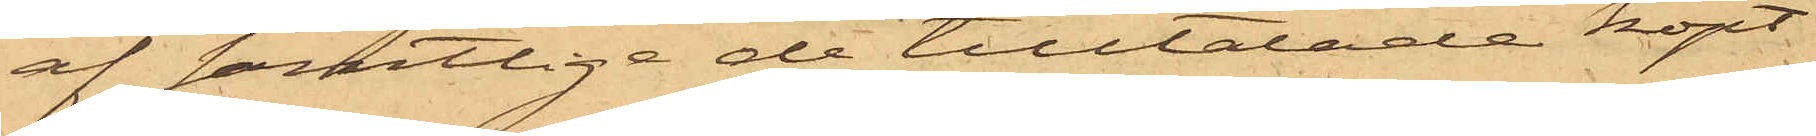af samtlige de tilltalade köpt
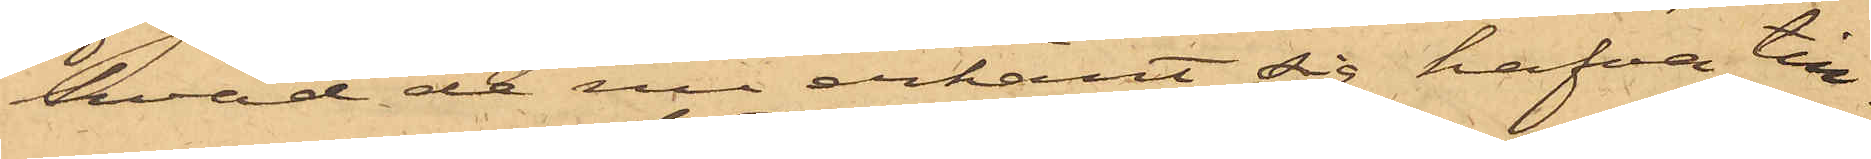hvad de nu erkänt sig hafva till¬
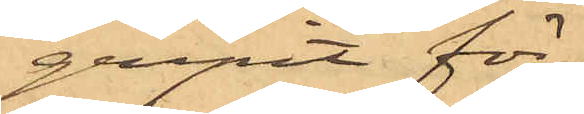gripit för
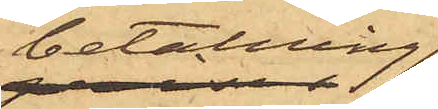betalning
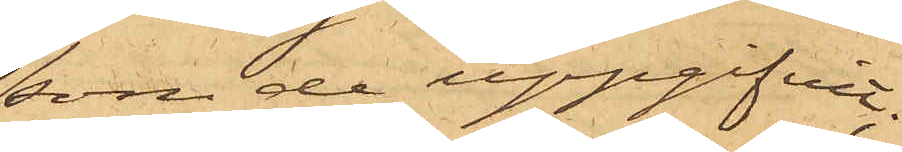som de uppgifvit;
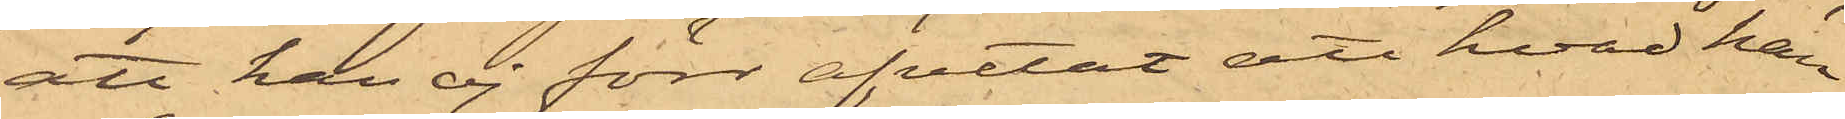att han ej förr afvetat att hvad han
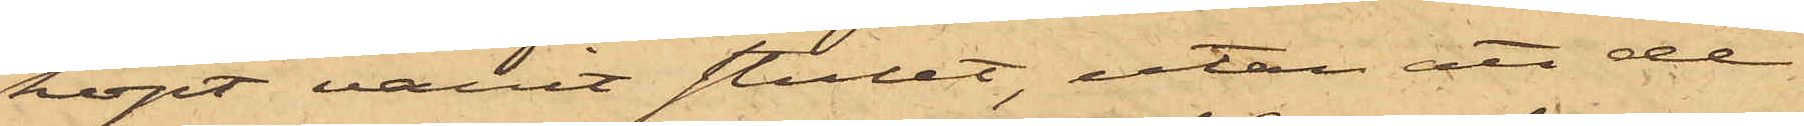köpt varit stulit, utan att de
